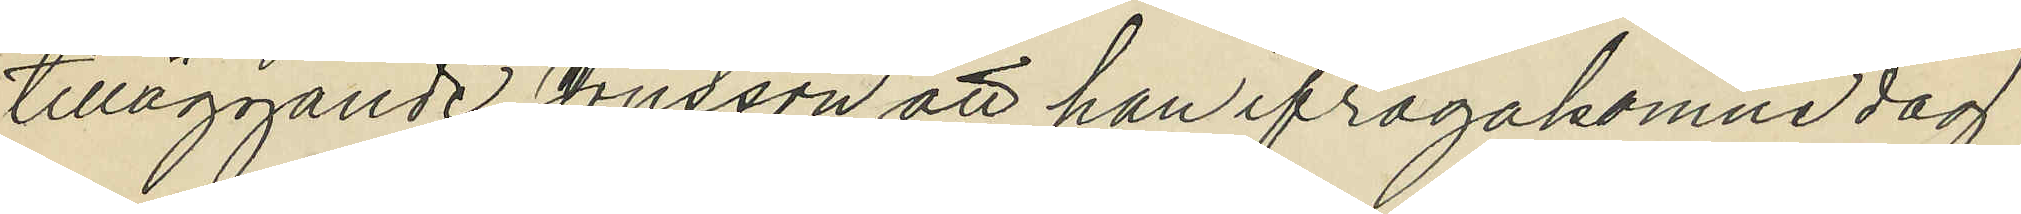tilläggande Jonsson att han ifrågakomne dag
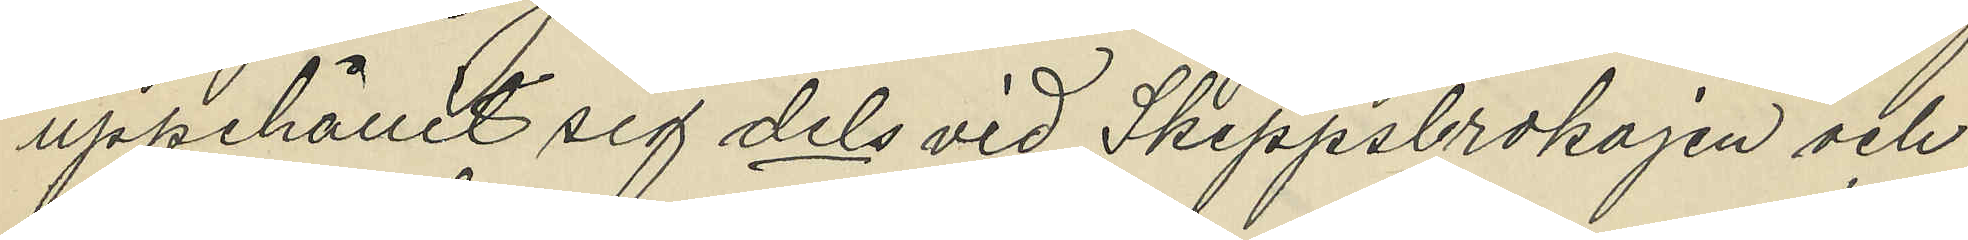uppehållit sig dels vid Skeppsbrokajen och
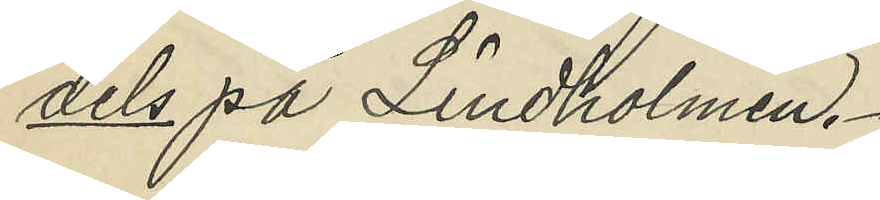dels på Lindholmen.
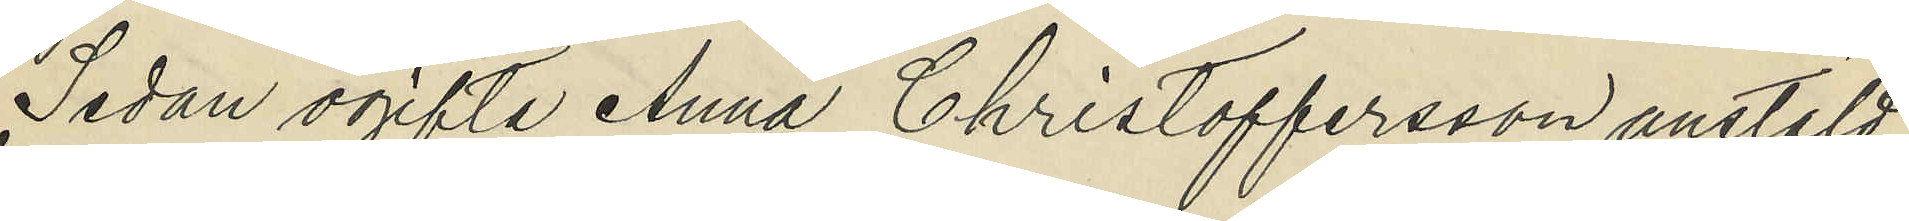Sedan ogifta Anna Christoffersson anstäld
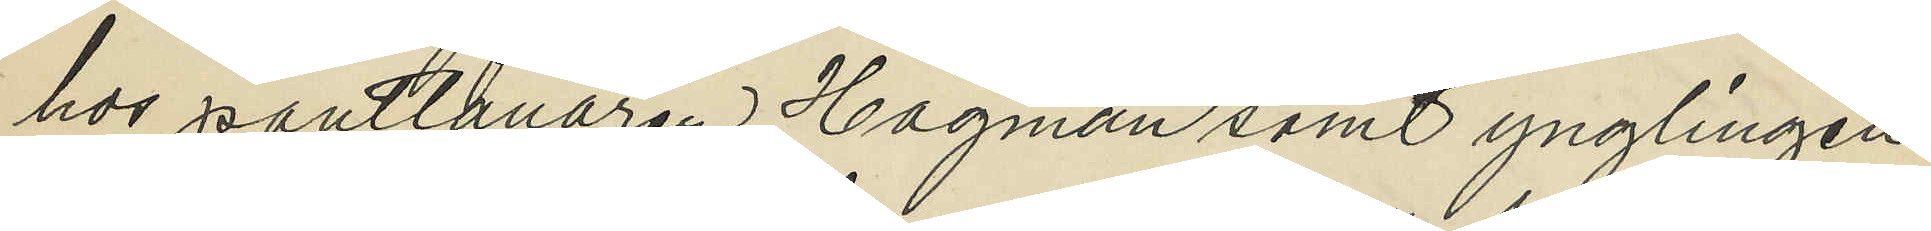hos pantlånaren Hagman samt ynglingen
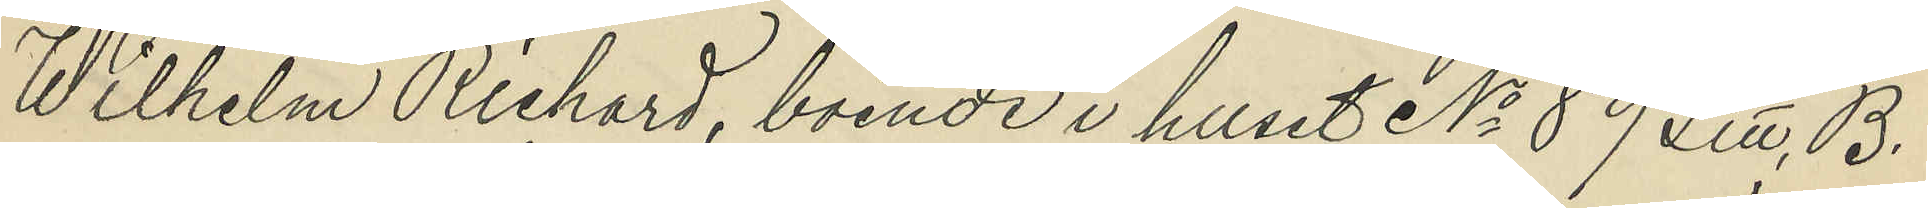Wilhelm Richard, boende i huset No 89 Litt. B.
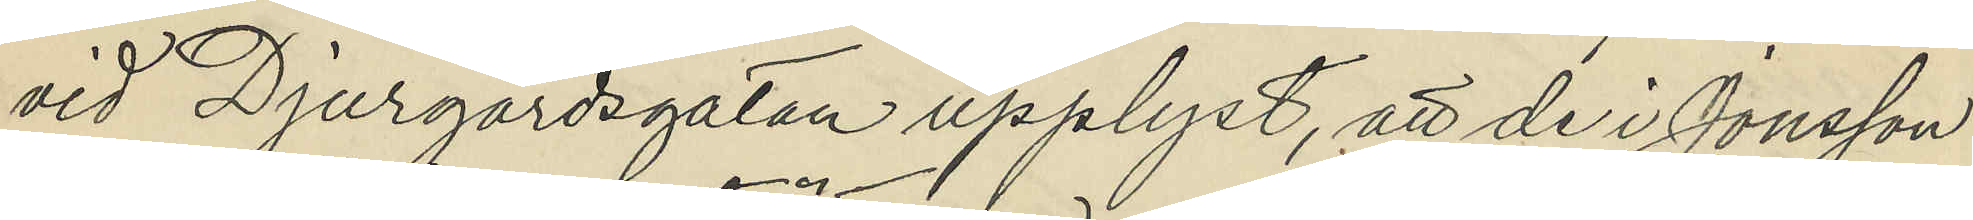vid Djurgårdsgatan upplyst, att de i Jonsson
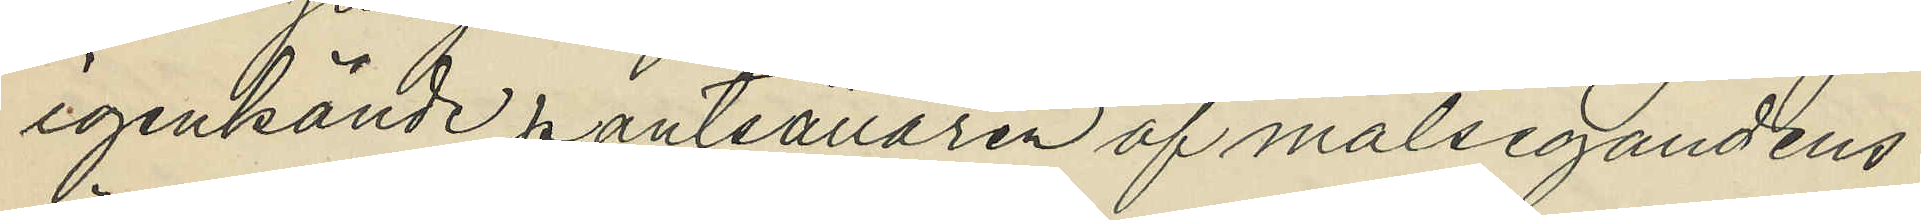igenkände pantsättaren af målsegandens
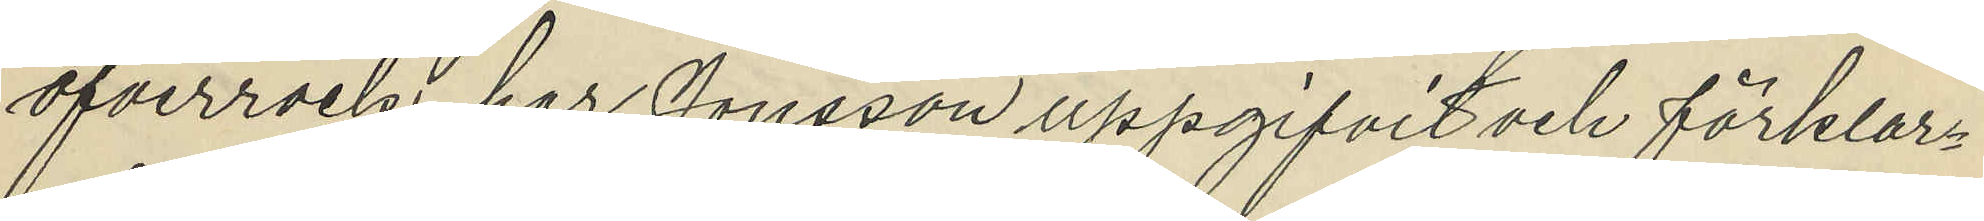öfverrock, har Jonsson uppgifvit och förklar¬
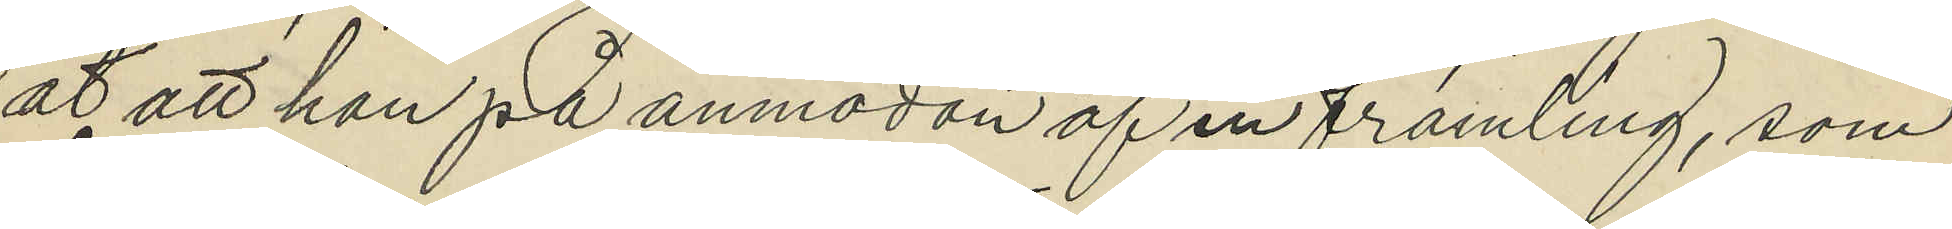at att han på anmodan af en främling, som
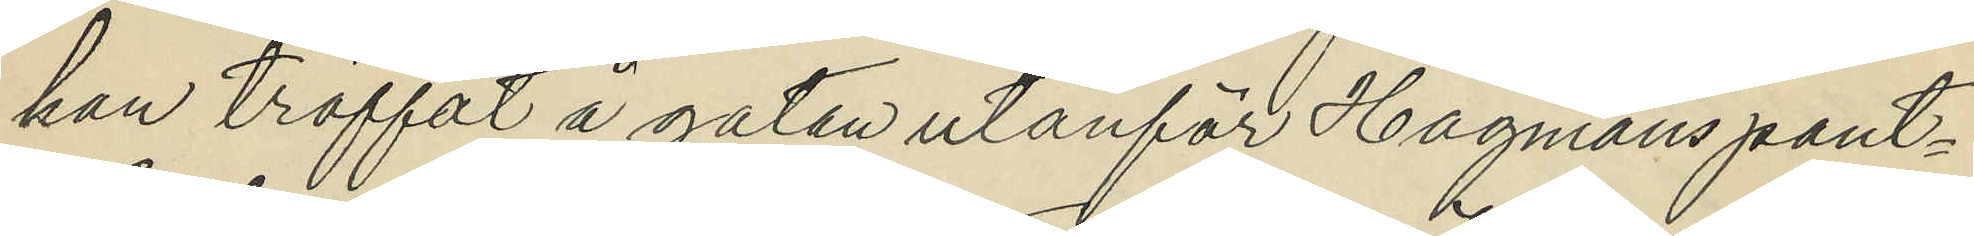han träffat å gatan utanför Hagmans pant¬
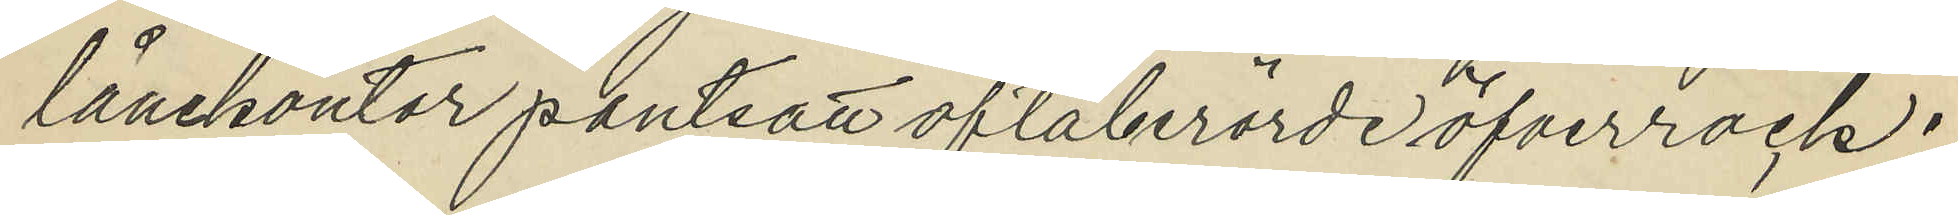lånekontor pantsatt oftaberörde öfverrock;
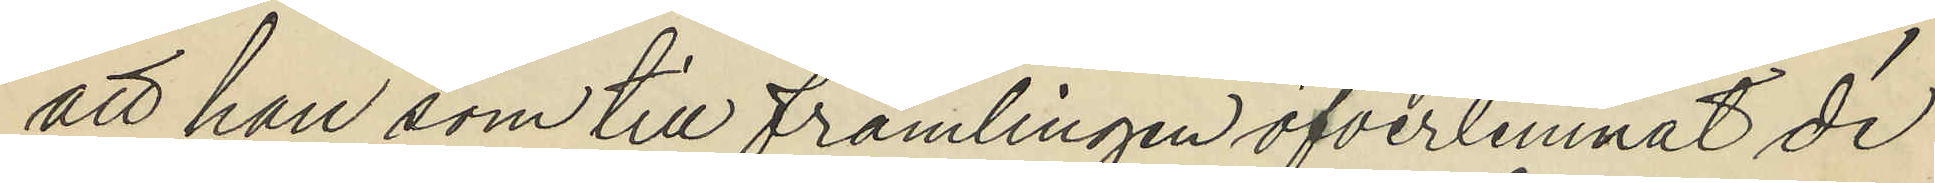att han som till främlingen öfverlemnat de
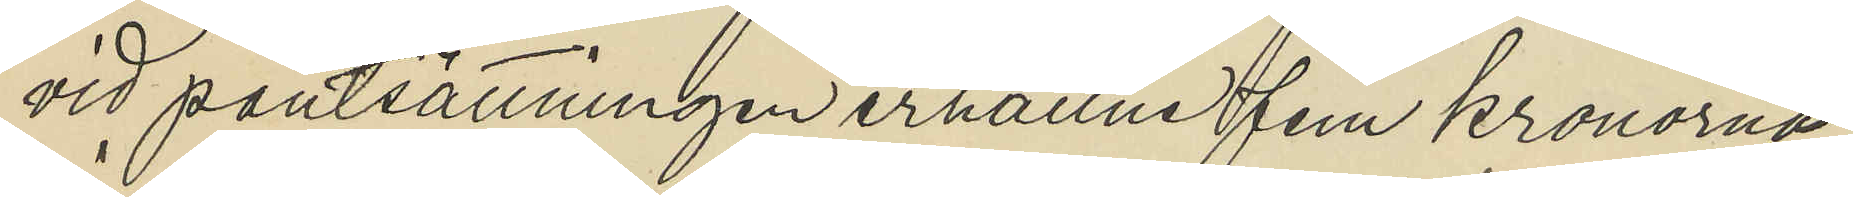vid pantsättningen erhållne fem kronorna
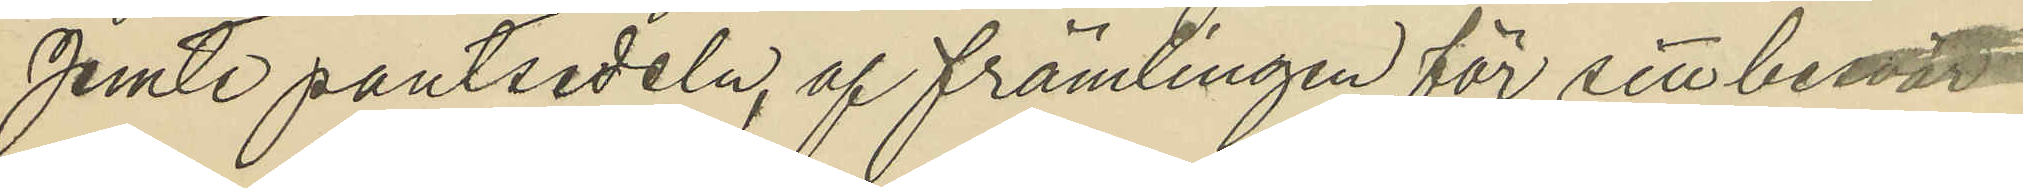jemte pantsedeln, af främlingen för sitt besvär
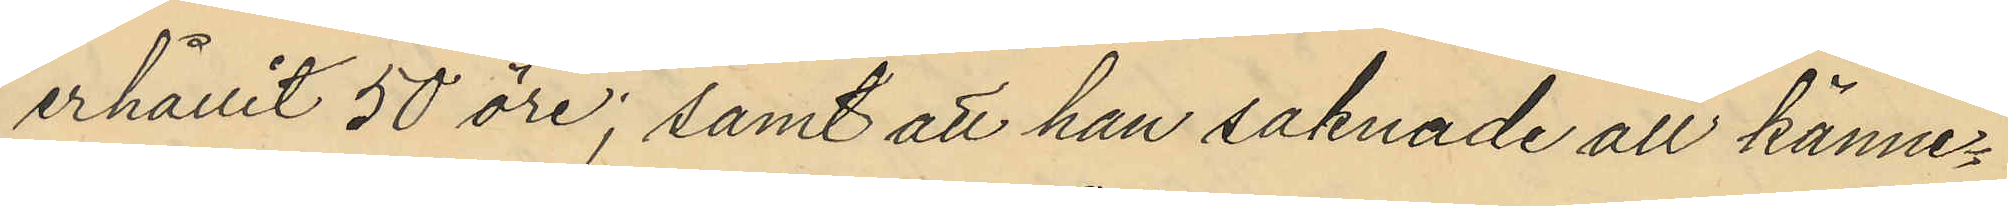erhållit 50 öre; samt att han saknade all känne¬
